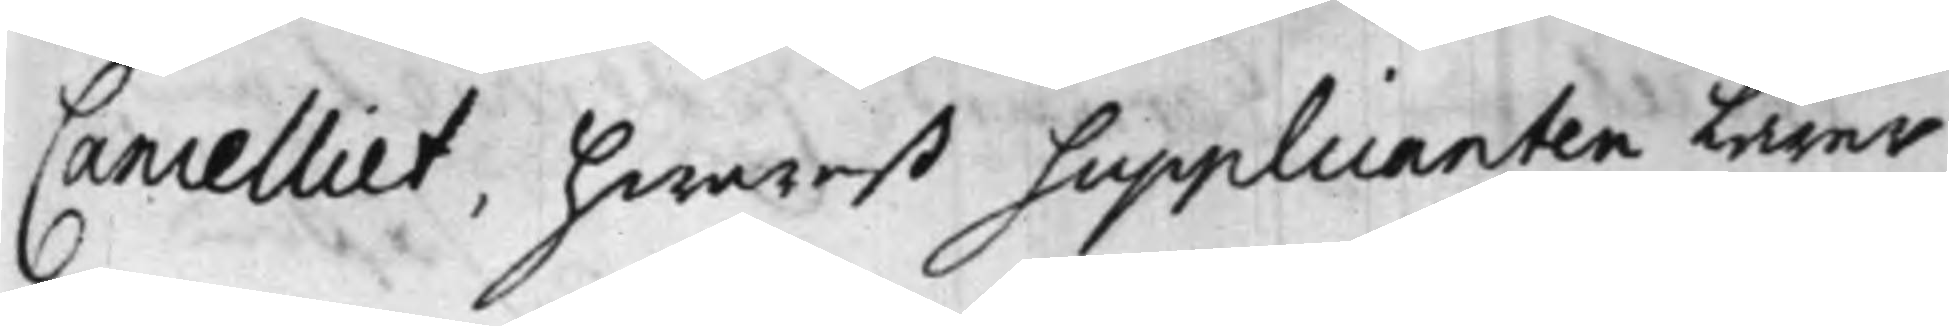Cancelliet, hwarest Supplicanten Lärer
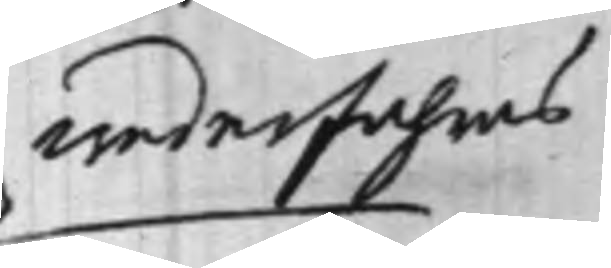vederfahras
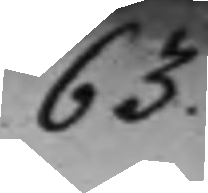63.
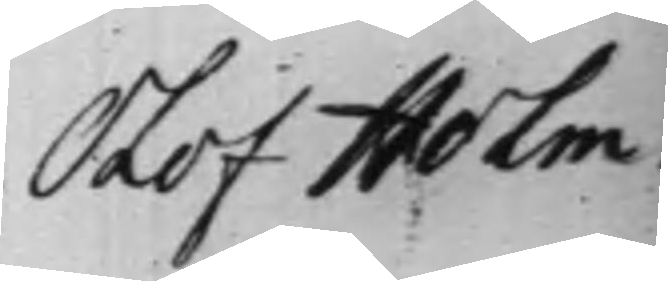Olof Holm
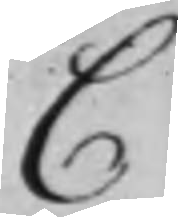C
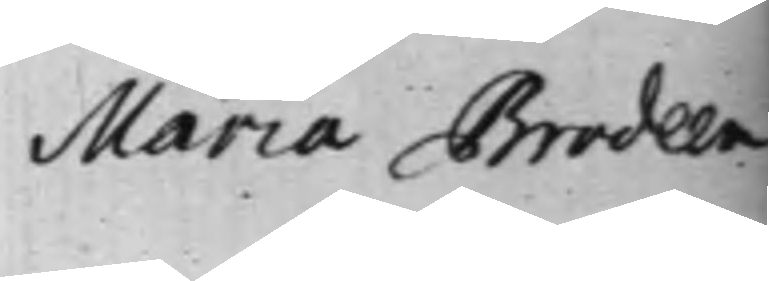Maria Brodeen
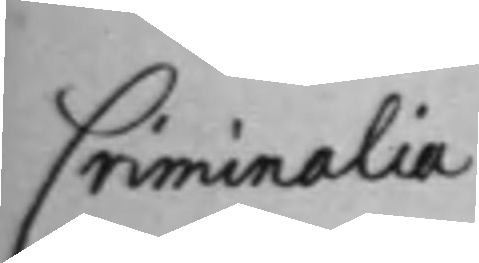Criminalia
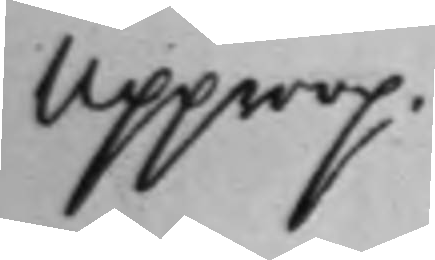Upprop.
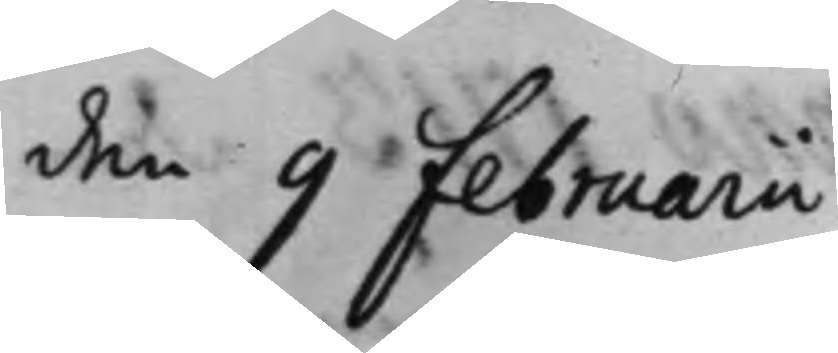den 9 Februarii
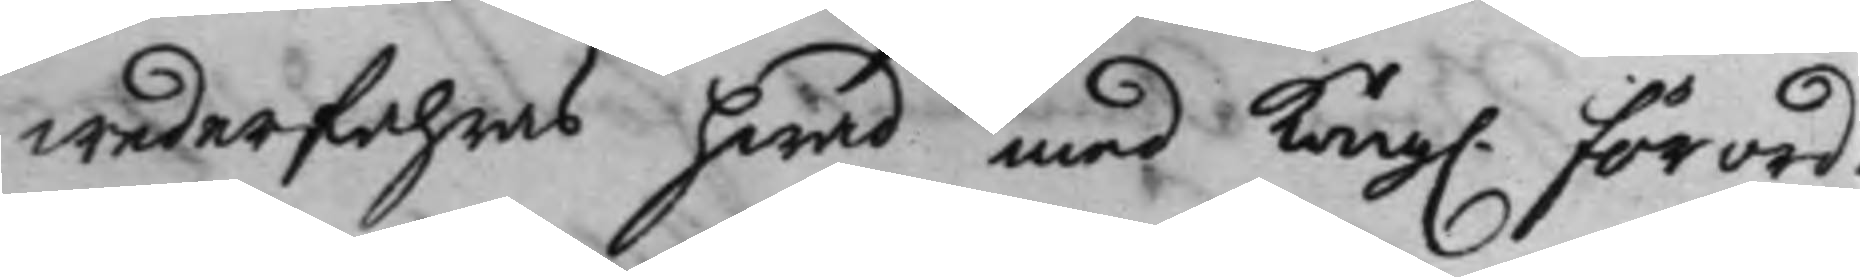wederfahras hwad med Kong. Förord¬
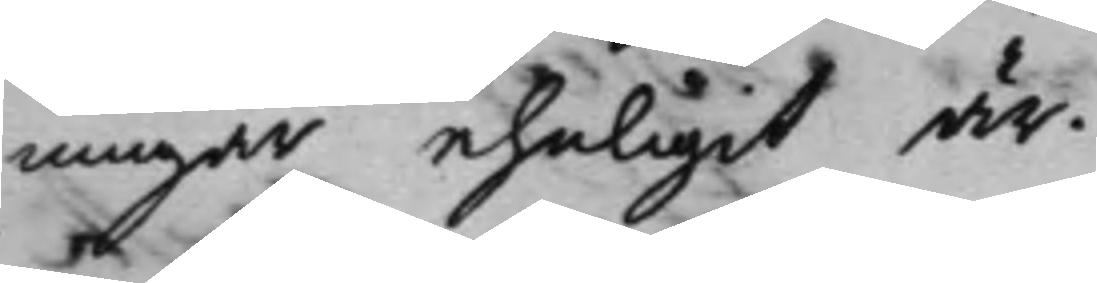ningar ehrligit är.
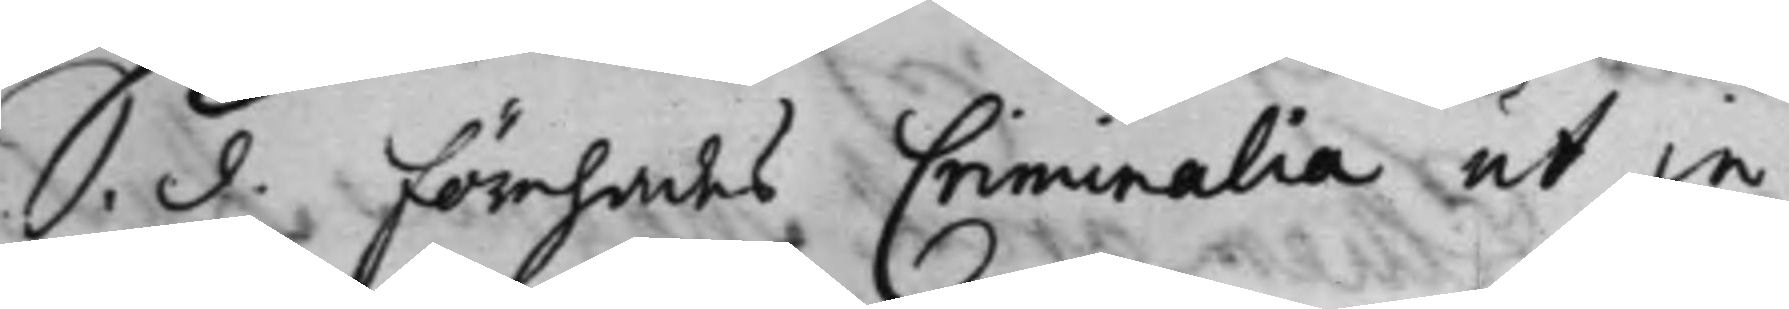S. d. förehades Criminalia ut in
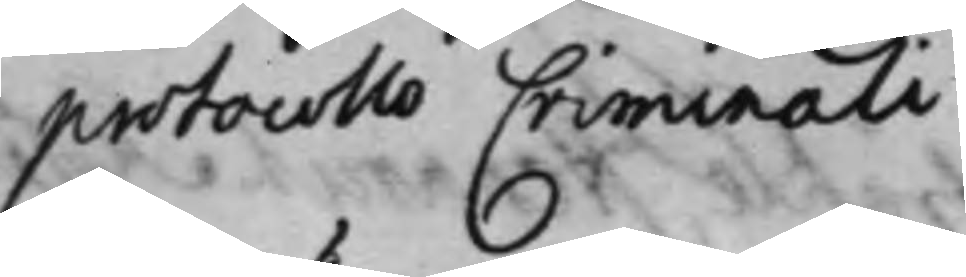protocollo Criminali.
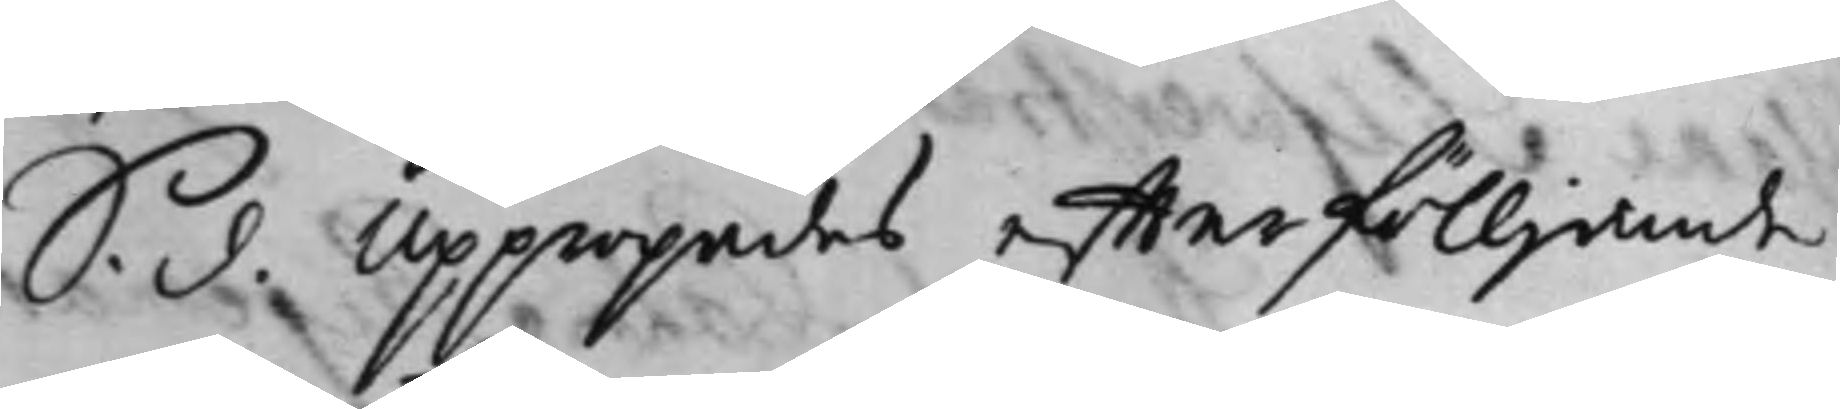S. d. Uppropades effterfölljande
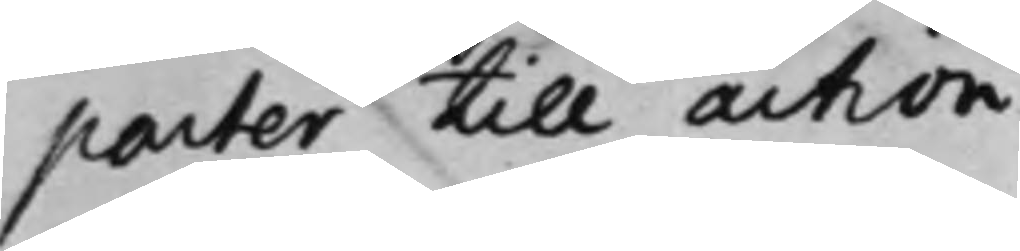parter till action.
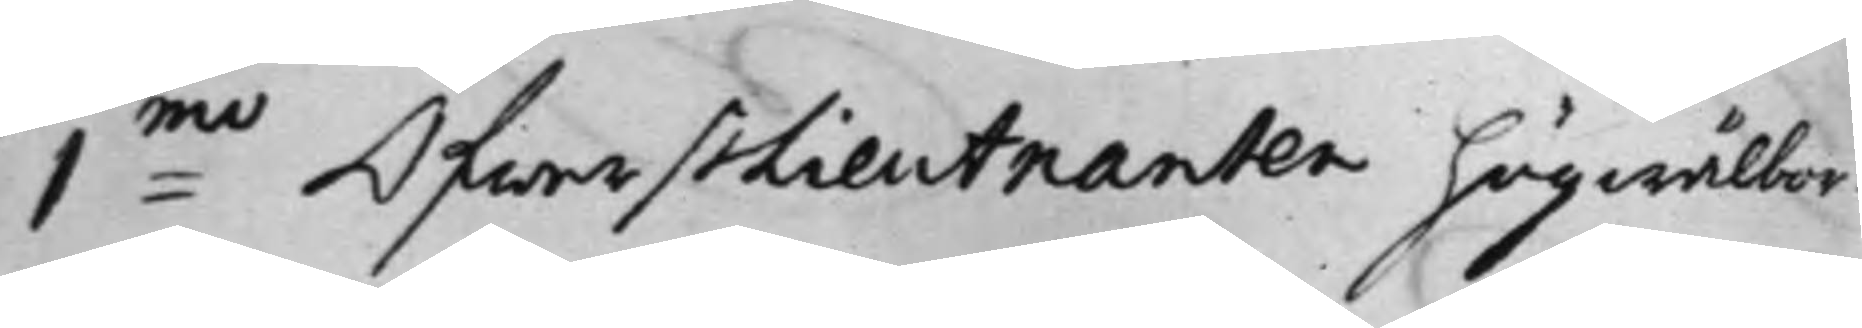1:mo ÖfwerstLieutnanten högwälbor¬
